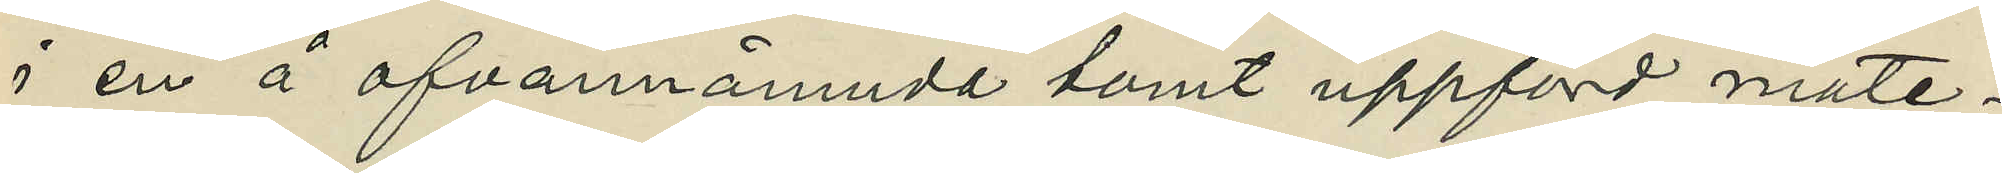i en å ofvannämnde tomt uppförd mate¬
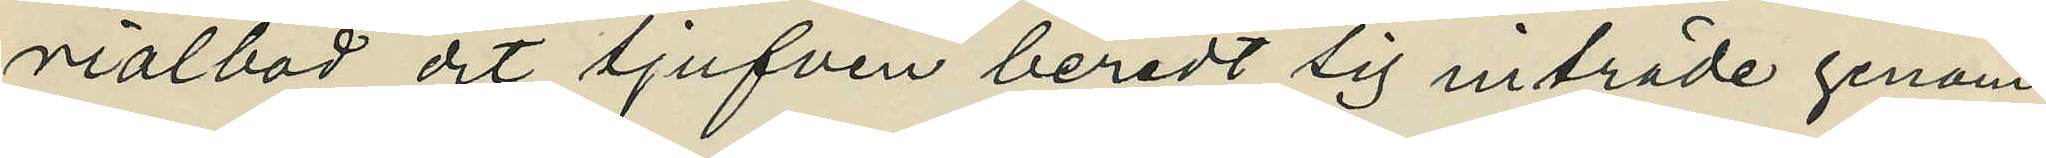rialbod, dit tjufven beredt sig inträde genom
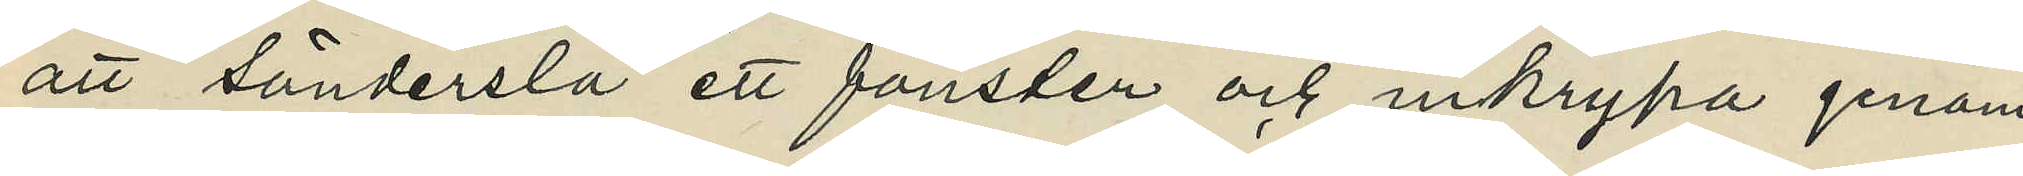att sönderslå ett fönster och inkrypa genom
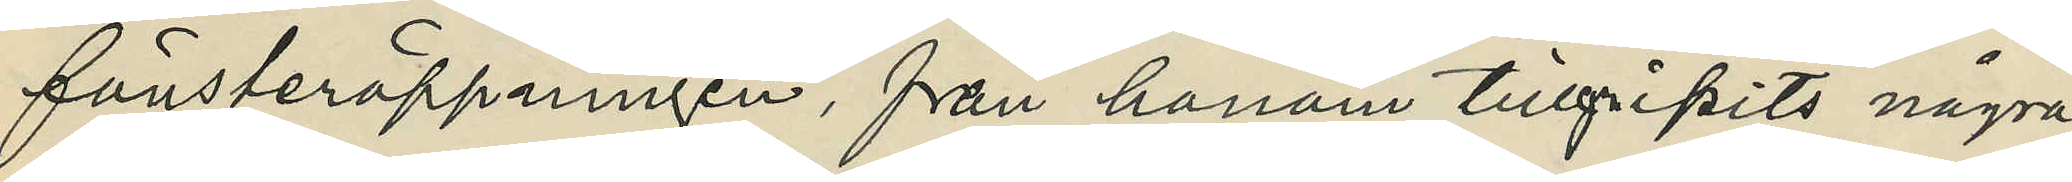fönsteröppningen, från honom tillgripits några
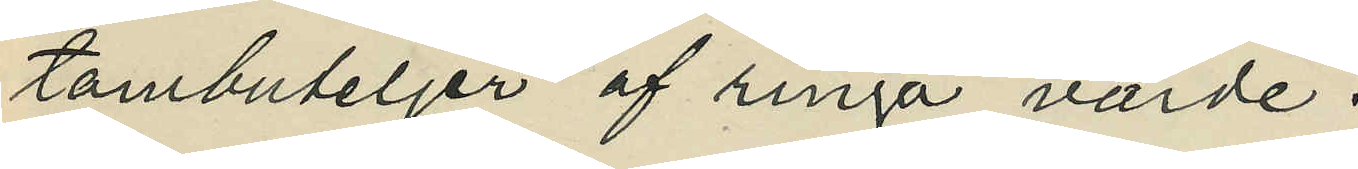tombuteljer af ringa värde.
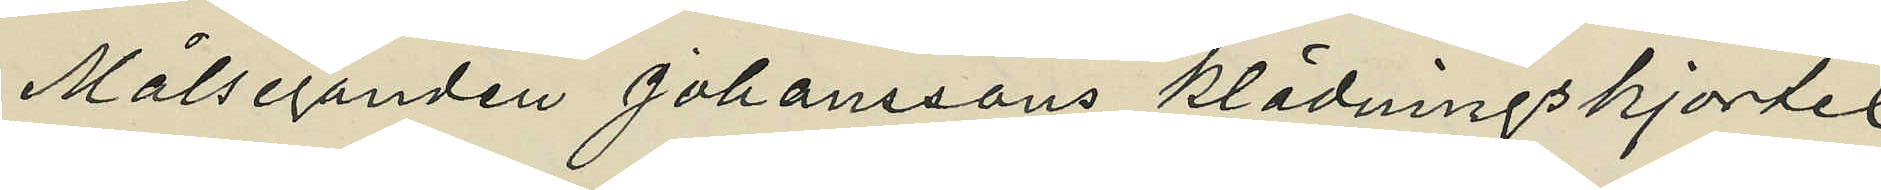Målseganden Johanssons klädningskjortel
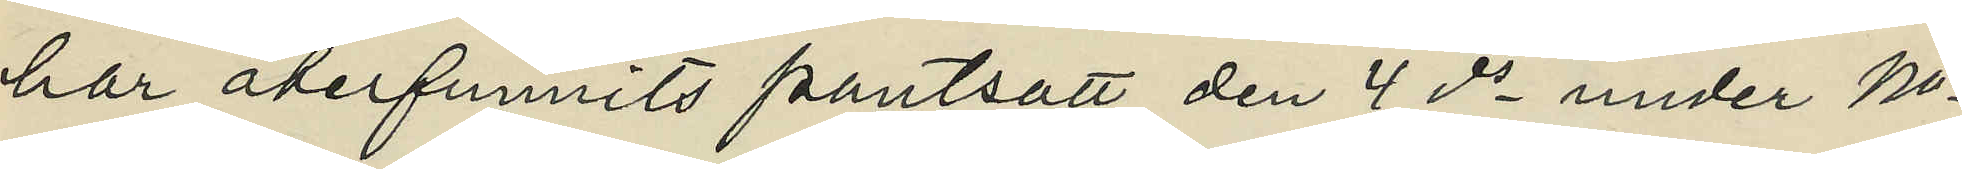har återfunnits pantsatt den 4 ds under No
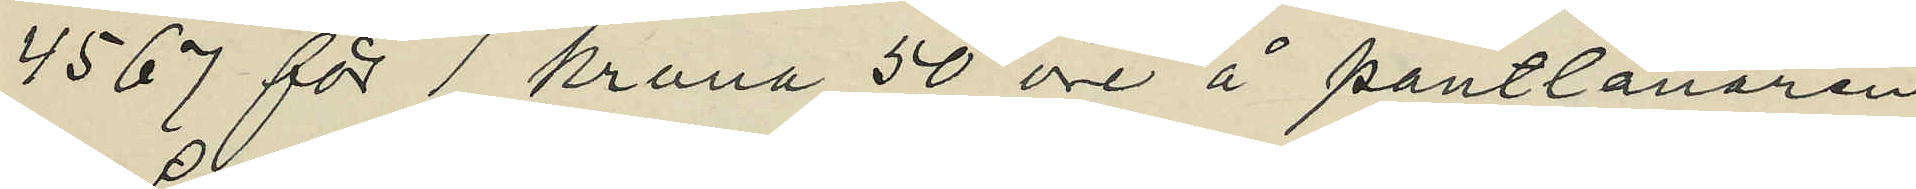4567 för 1 krona 50 öre å pantlånaren
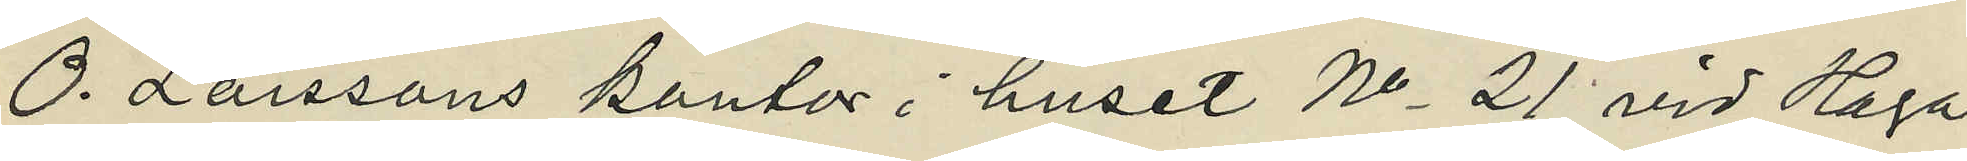O. Larssons kontor i huset No 21 vid Haga
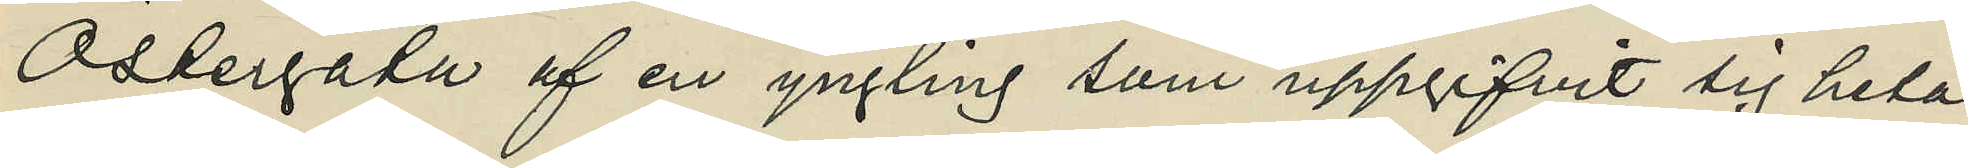Östergata af en yngling som uppgifvit sig heta
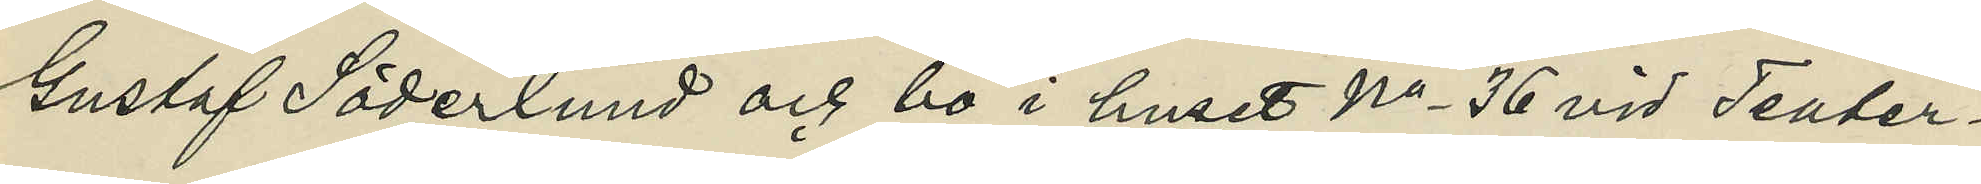Gustaf Söderlund och bo i huset No 36 vid Teater¬
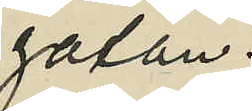gatan.
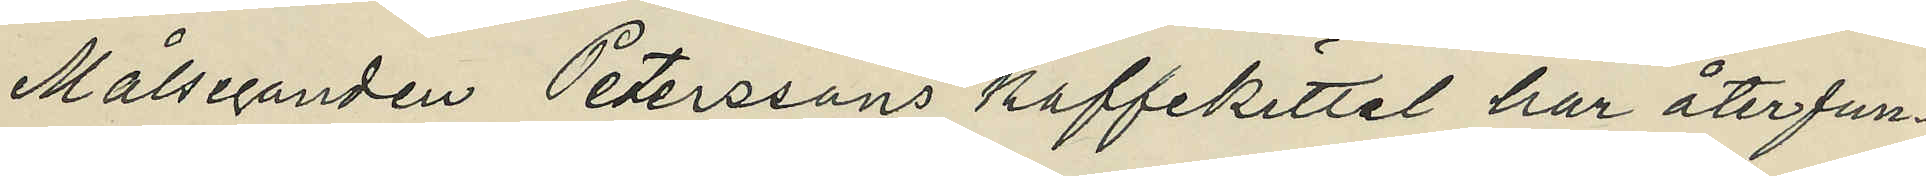Målseganden Peterssons kaffekittel har återfun¬
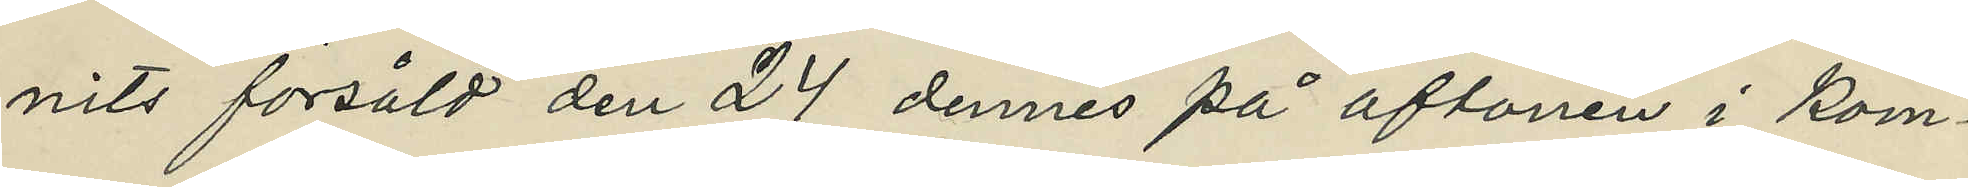nits försåld den 24 dennes på aftonen i kom¬
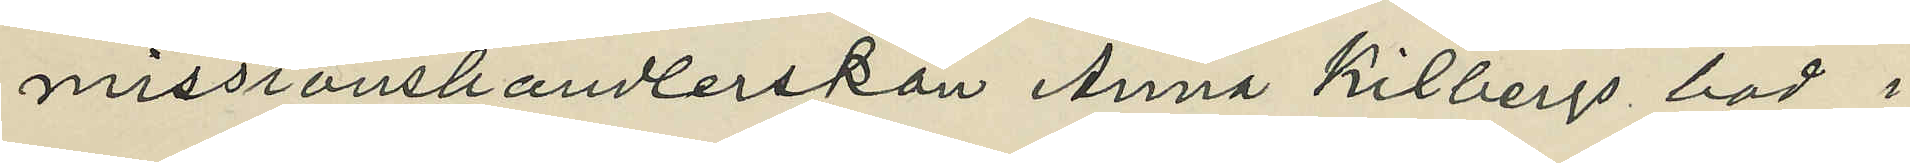missionshandlerskan Anna Kilbergs bod i
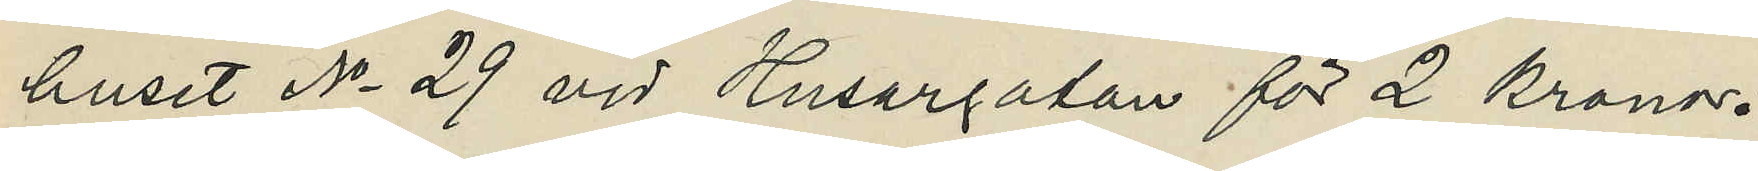huset No 29 vid Husargatan för 2 kronor.
